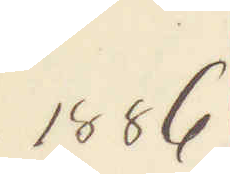1886
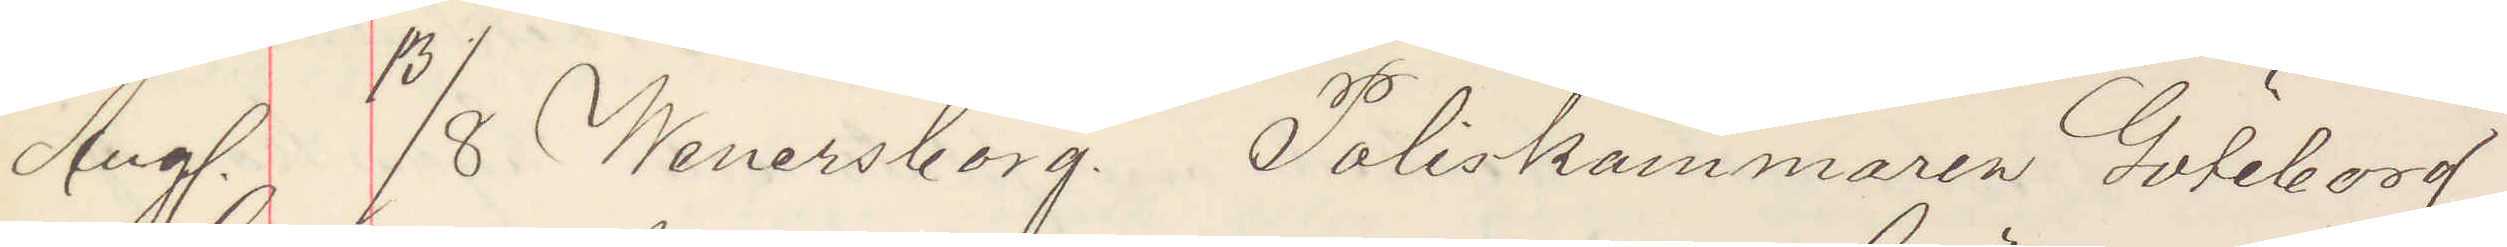Aug. 13/8 Wenersborg. Poliskammaren Göteborg
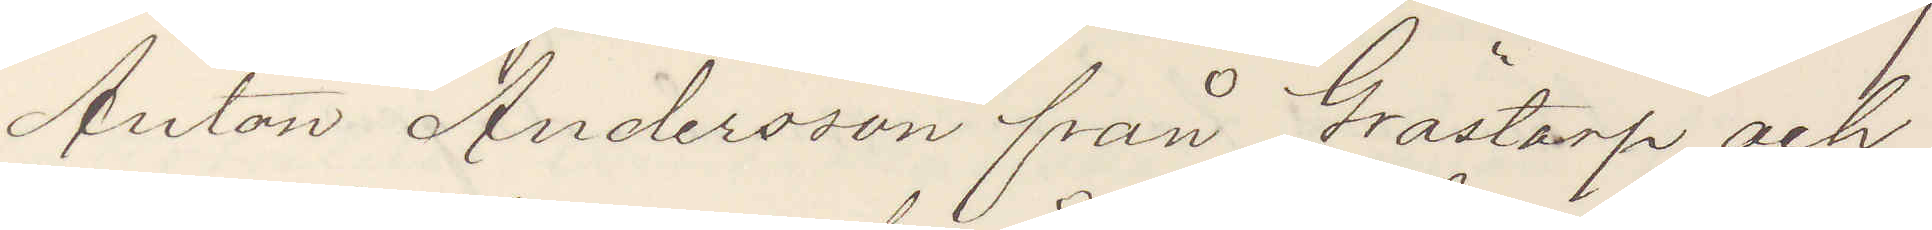Anton Andersson från Grästorp och
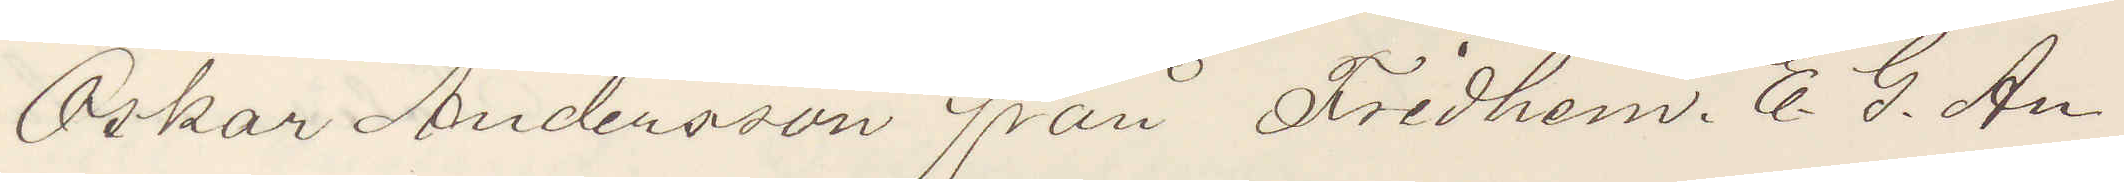Oskar Andersson från Fridhem. E. G. An¬
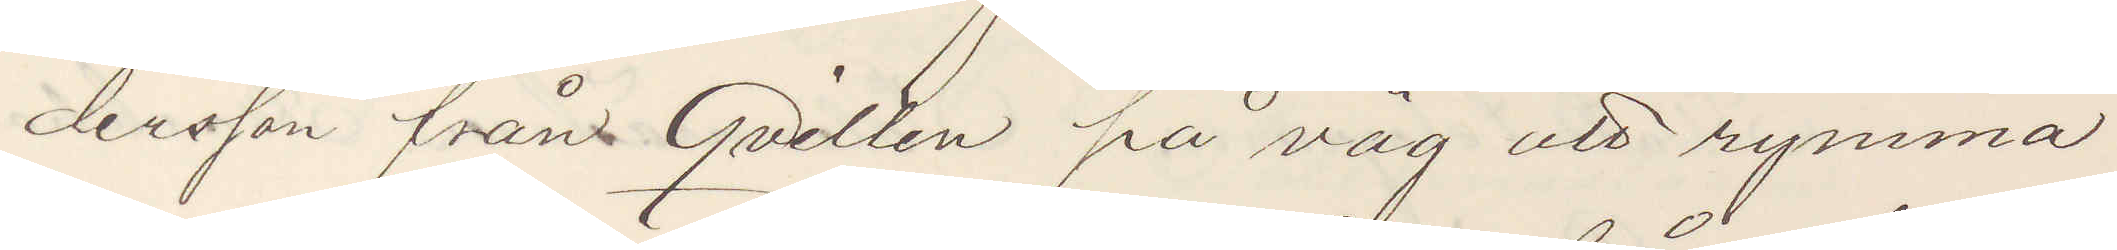dersson fråns Qvillen på väg att rymma
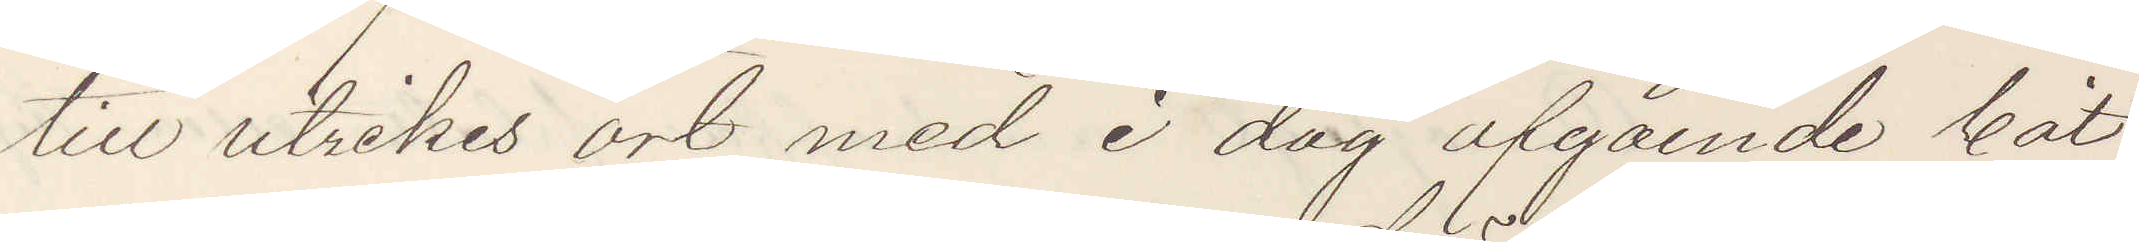till utrikes ort med i dag afgående båt
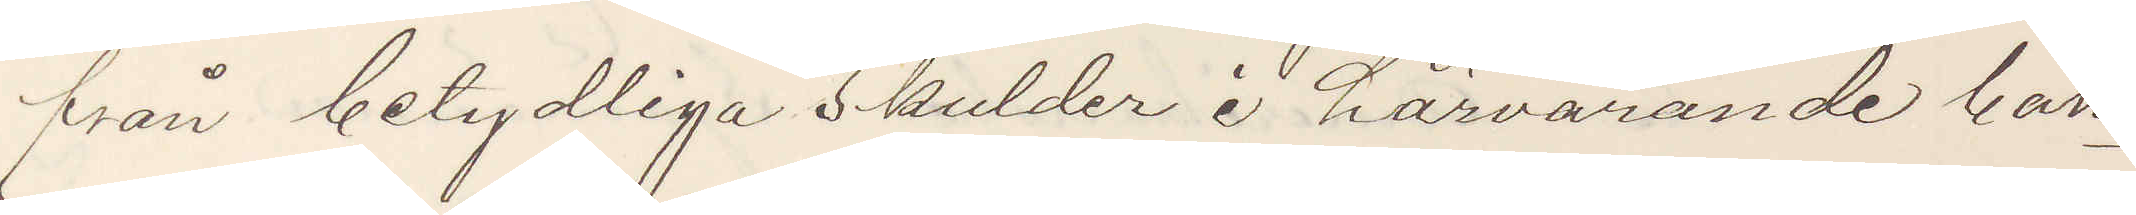från betydliga skulder i härvarande ban¬
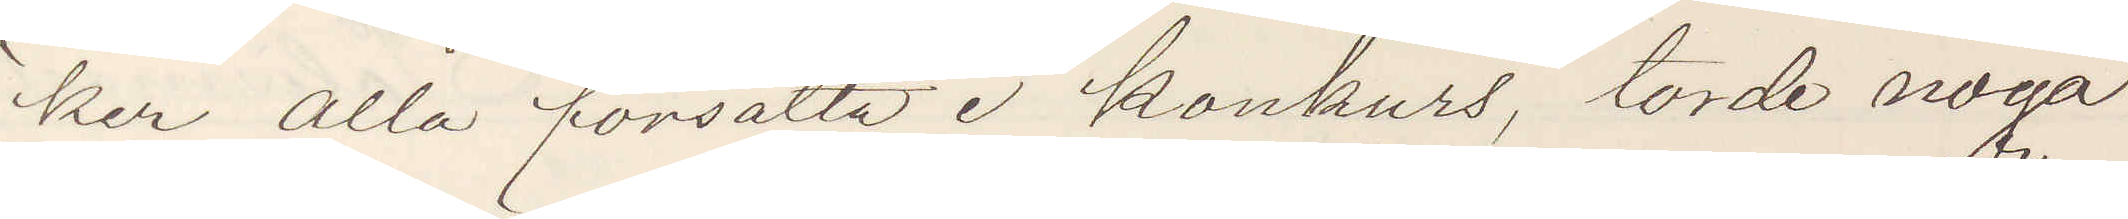ker alla försatta i konkurs, torde noga
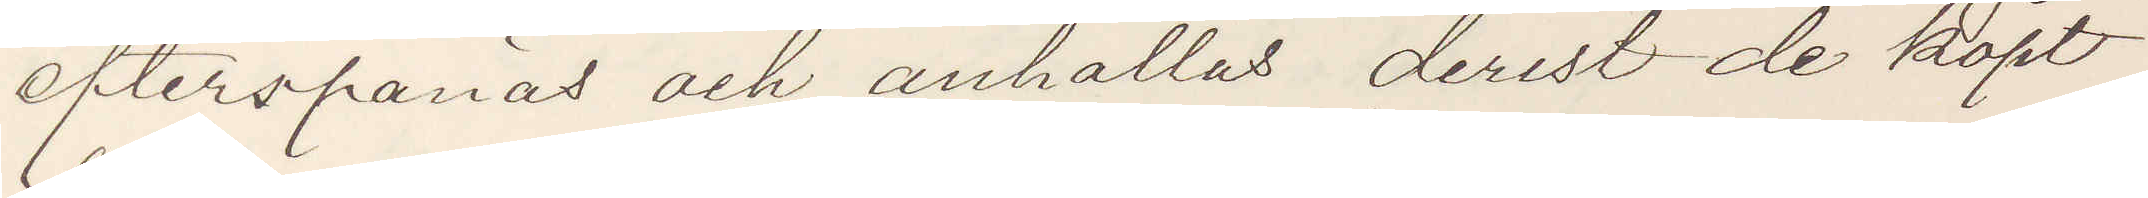efterspanas och anhållas derest de köpt
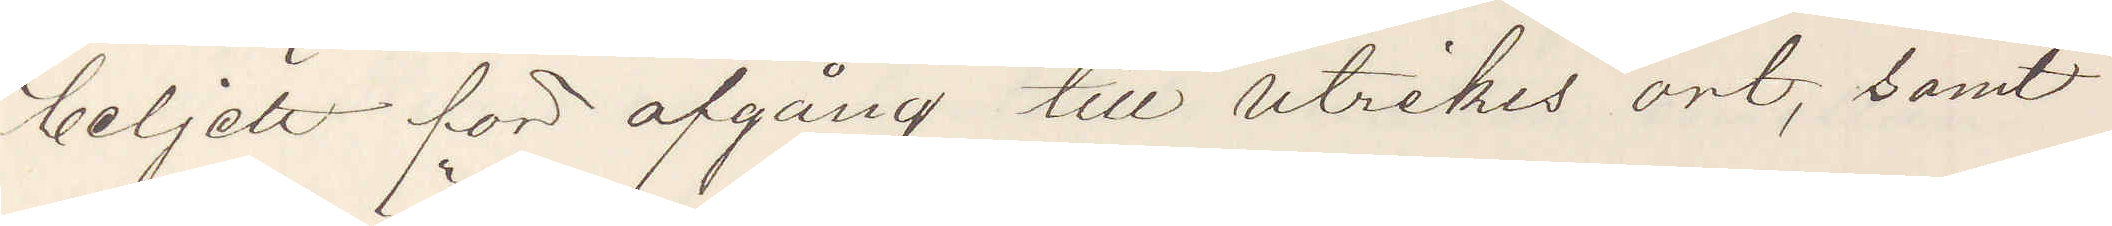beljett för afgång till utrikes ort, samt
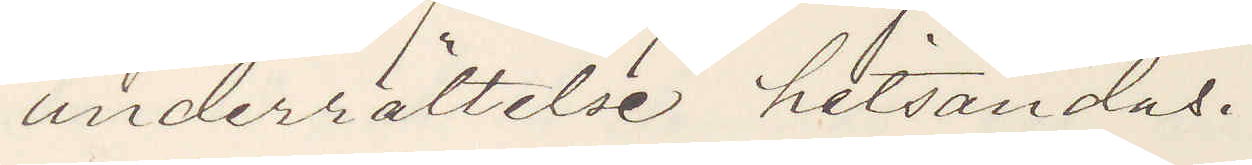underrättelse hitsändas.
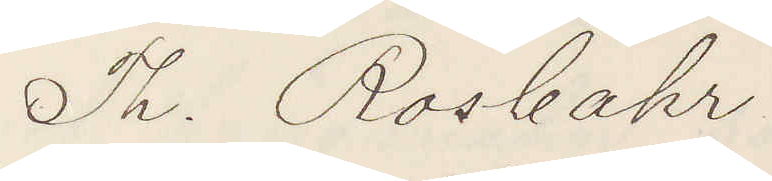Th. Rosbahr
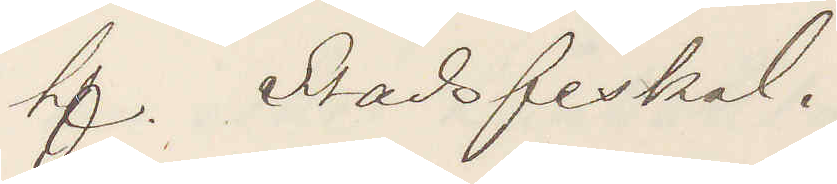tf. Stadsfiskal.
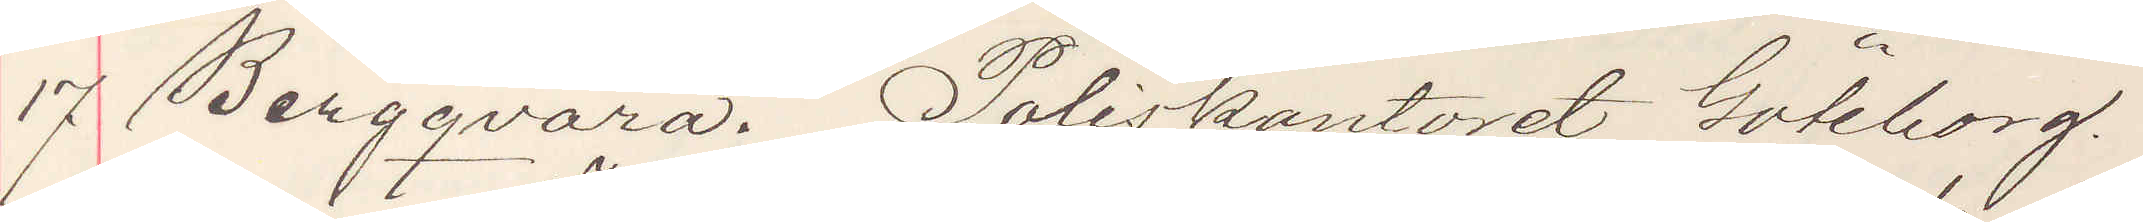17 Bergqvara. Poliskontoret Göteborg.
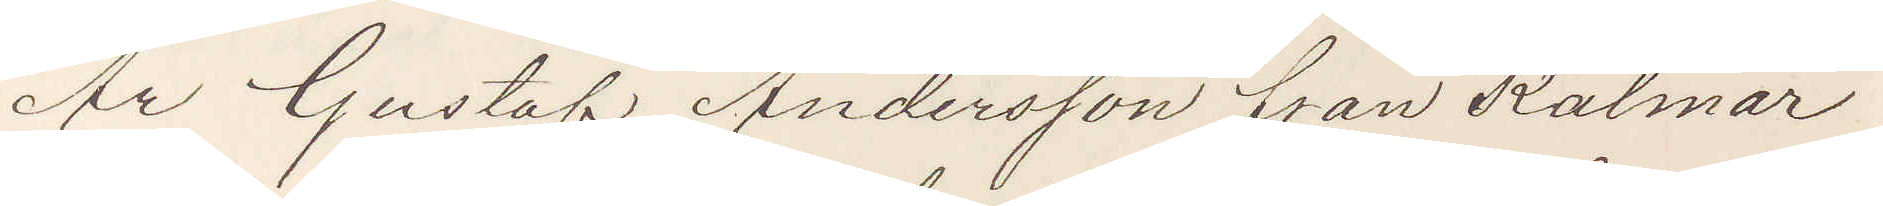Är Gustaf Andersson från Kalmar
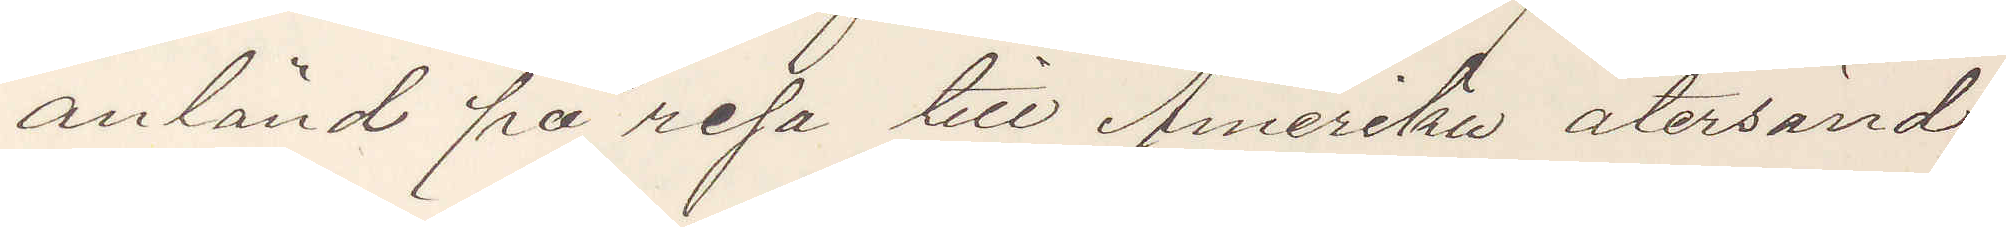anländ på resa till Amerika återsänd
